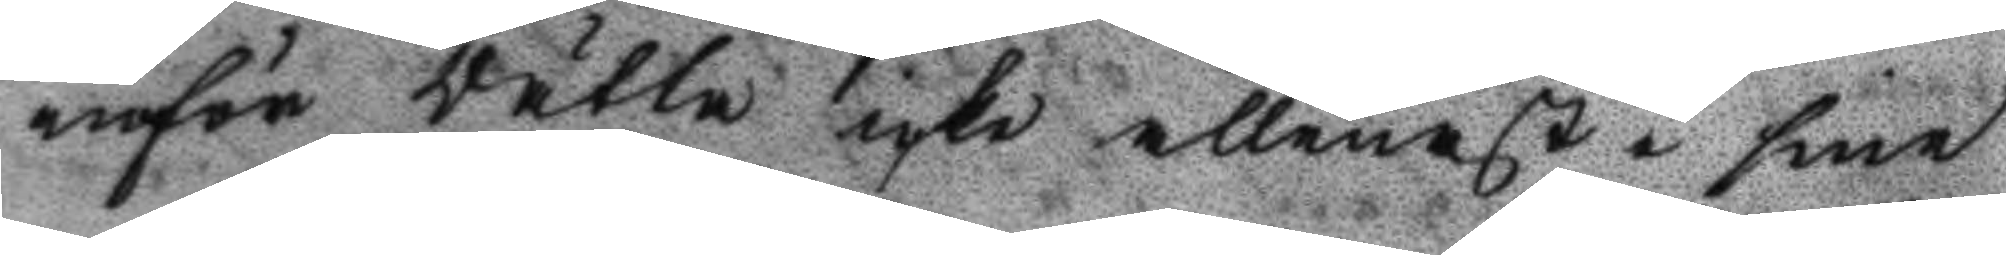inför Rätta icke allenast å sine
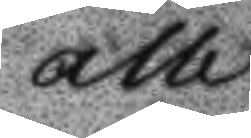alle
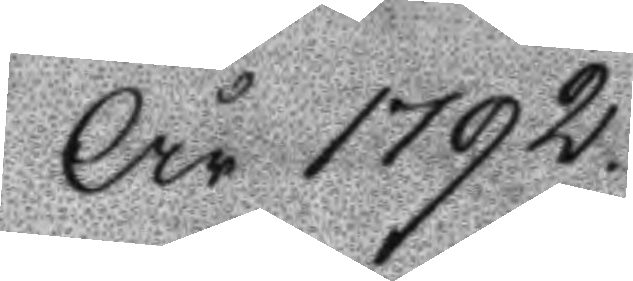År 1792
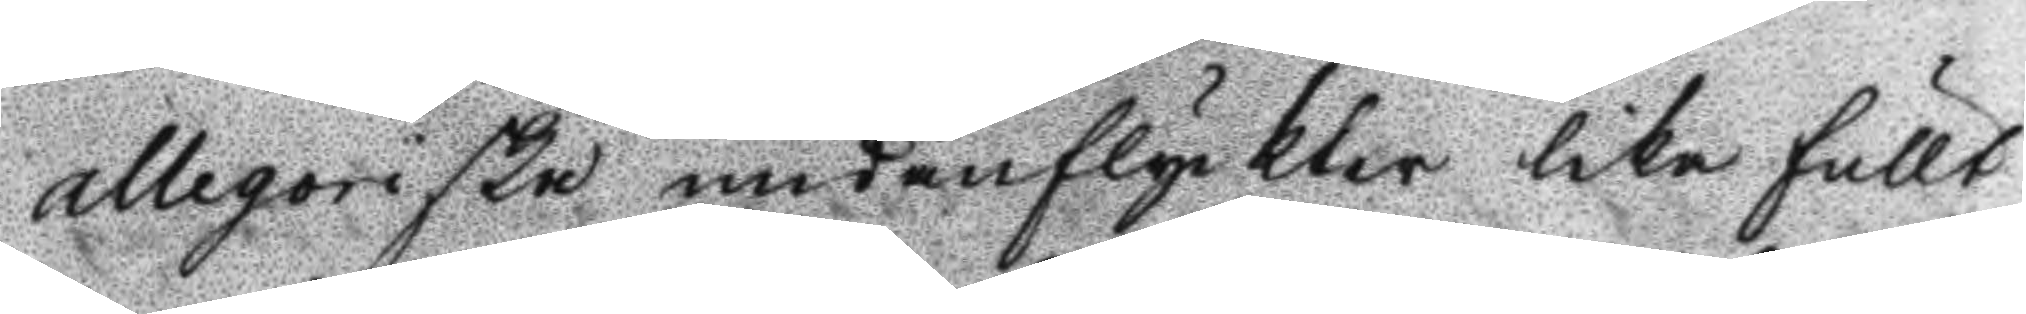allegoriska undanflyckter lika fullt
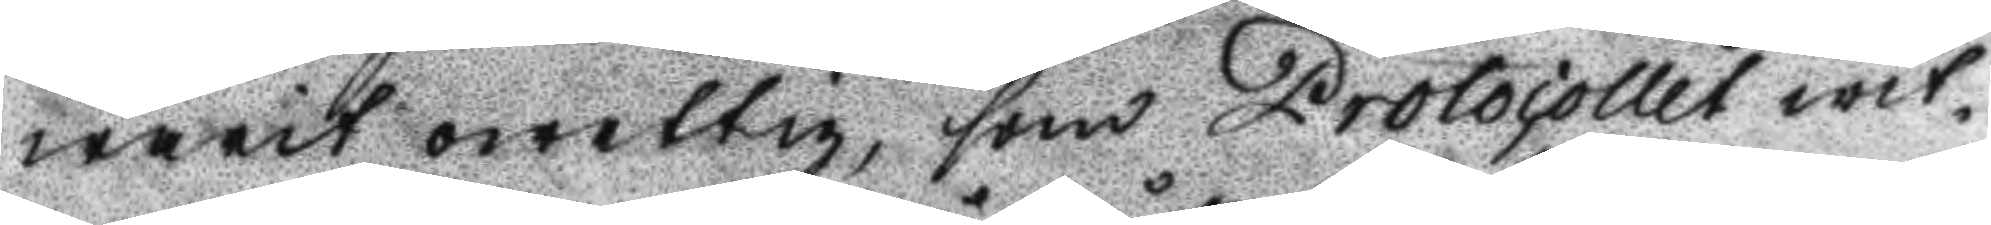warit qwettig, som Protocollet wit¬
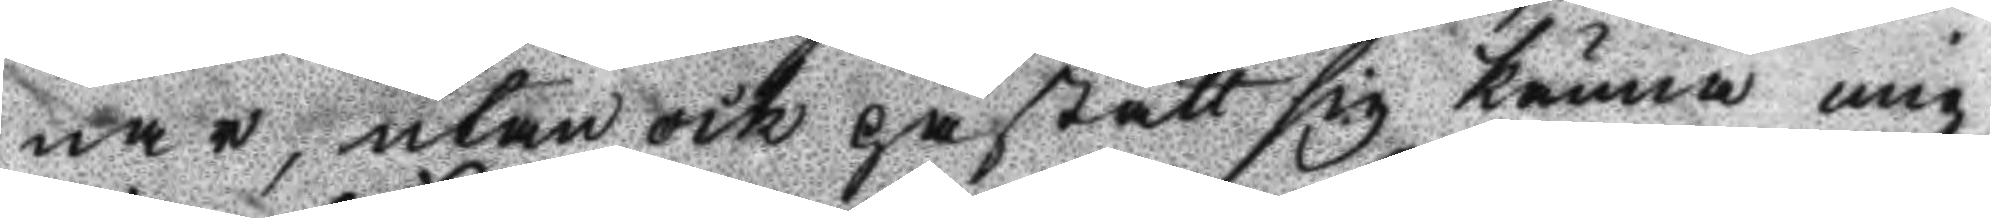nar, utan ock påstått sig känna mig
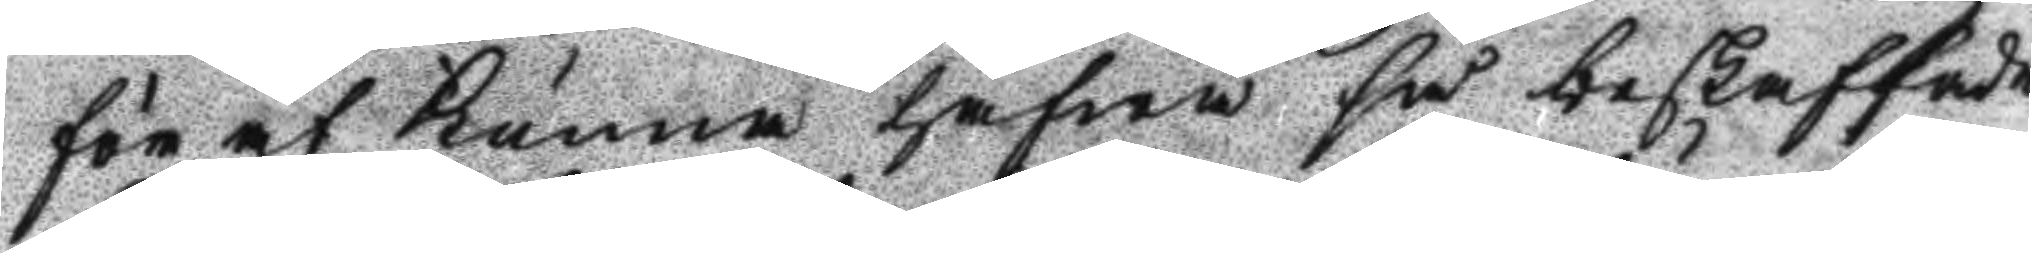för at kunna hafwa få beskaffade
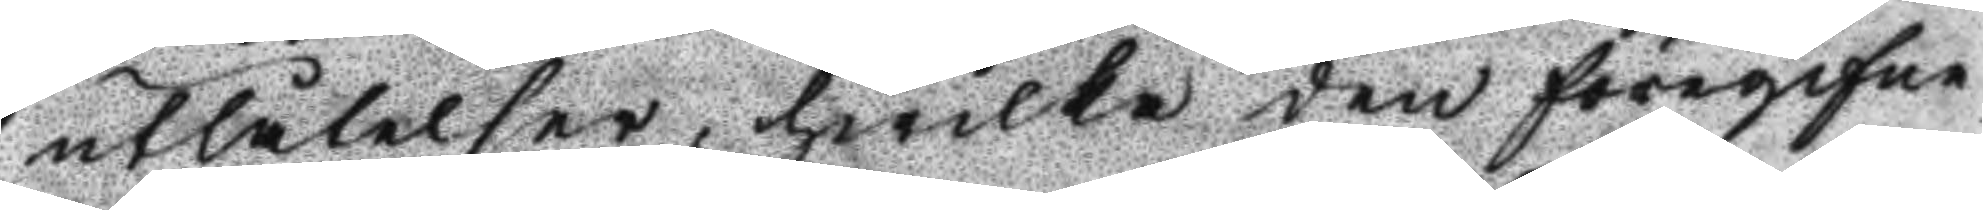utlåtelser, hwilka dem föregifne
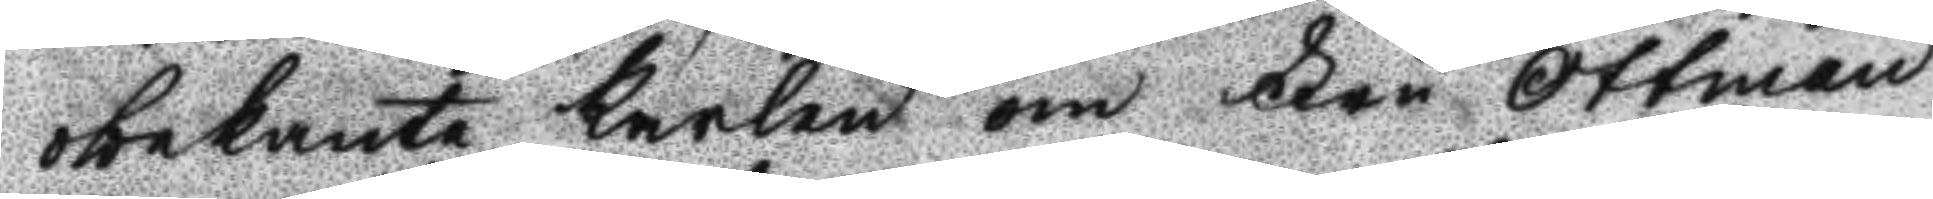obekante karlen om Fru Ottman
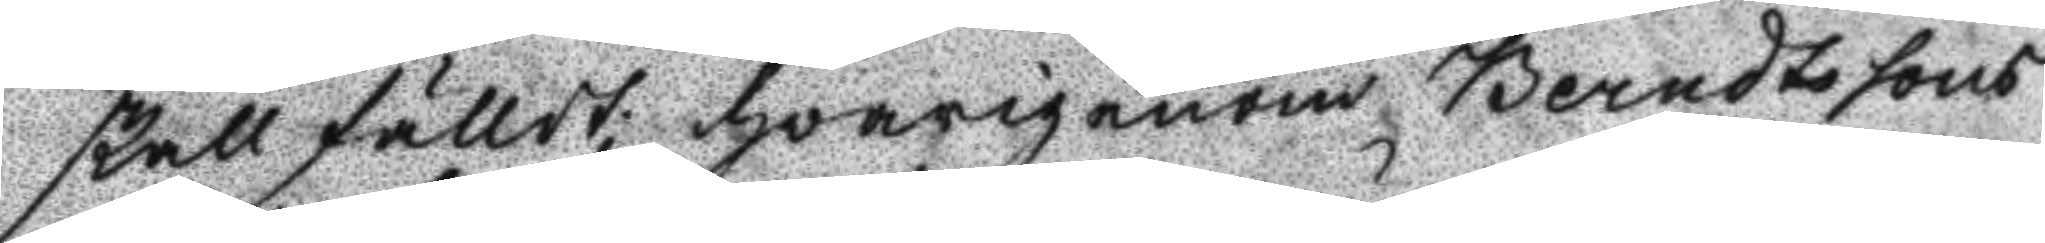skall falldt; hwarigenom Berndtssons
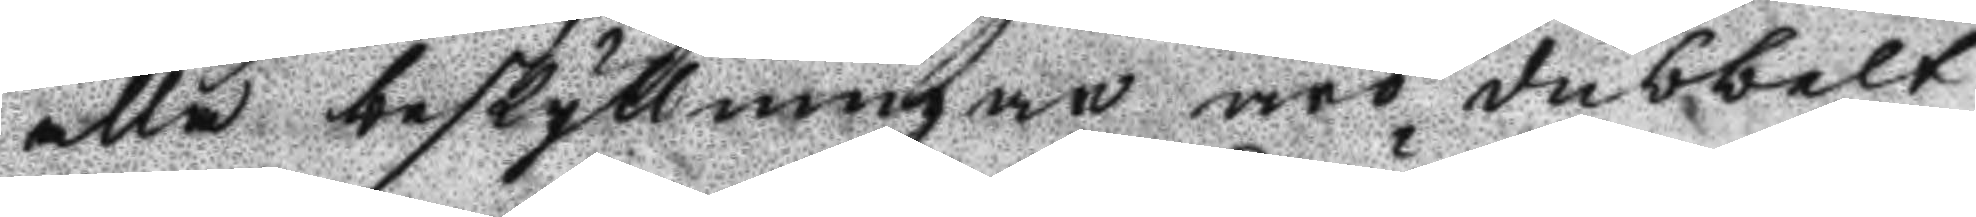alla beskyllningar äro dubbelt
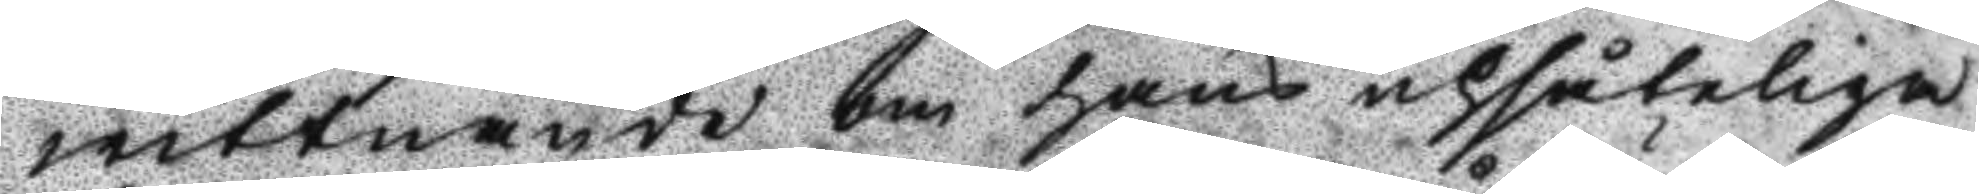wittnade om hans upsåteliga
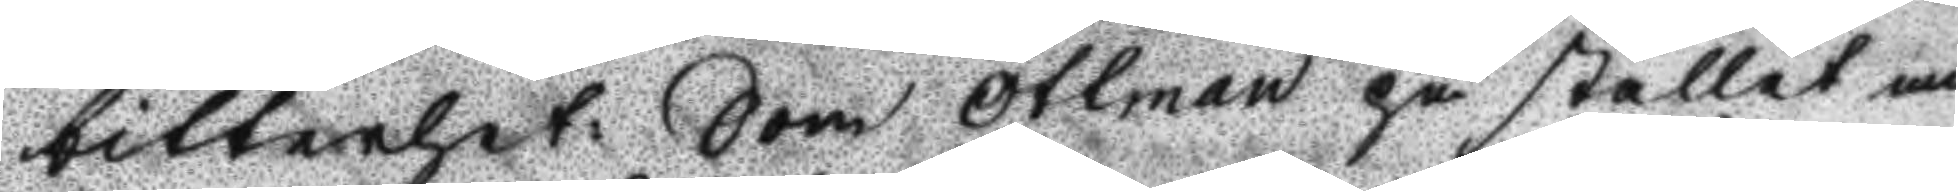bitterhet: Som Ottman på stället an¬
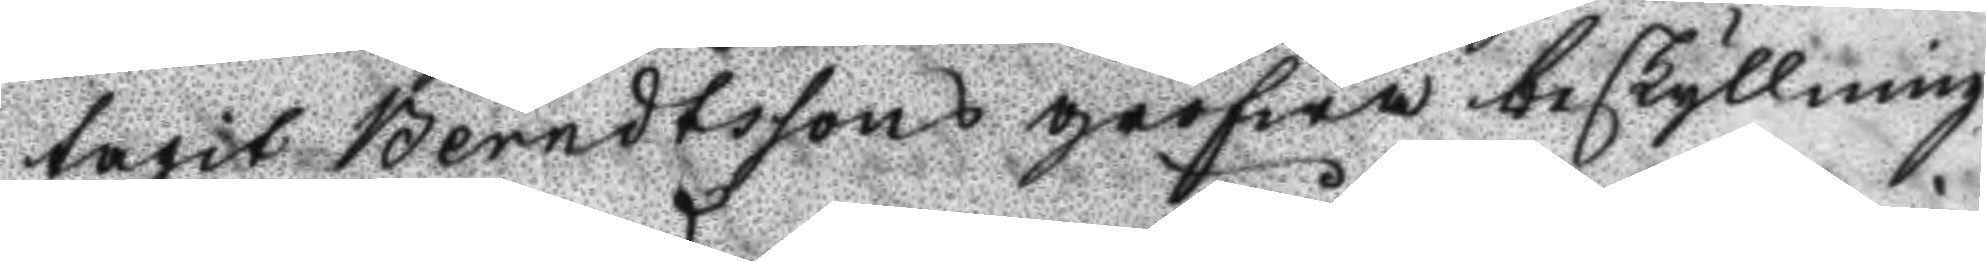tagit Berndtssons grofwa beskyllning
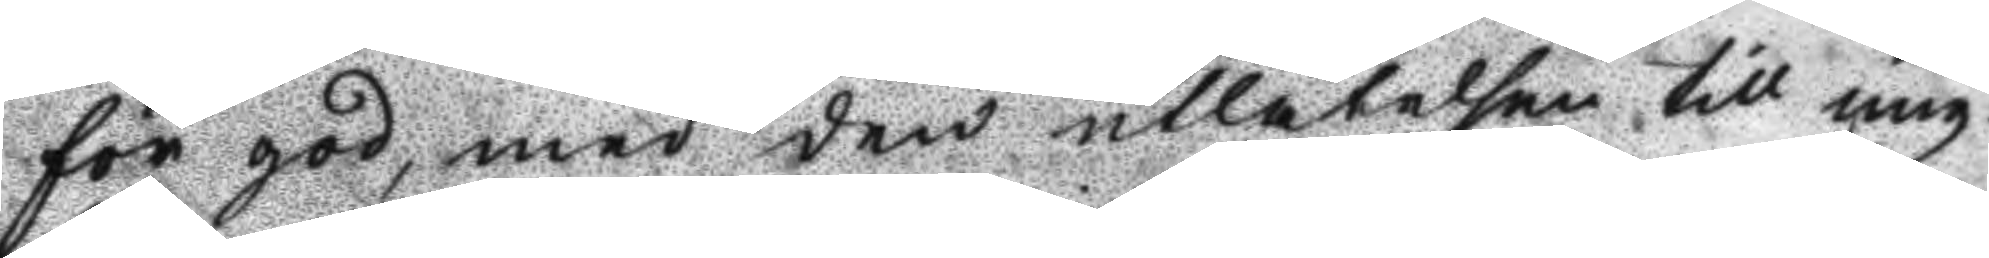för god, med den utlåtelsen till mig:
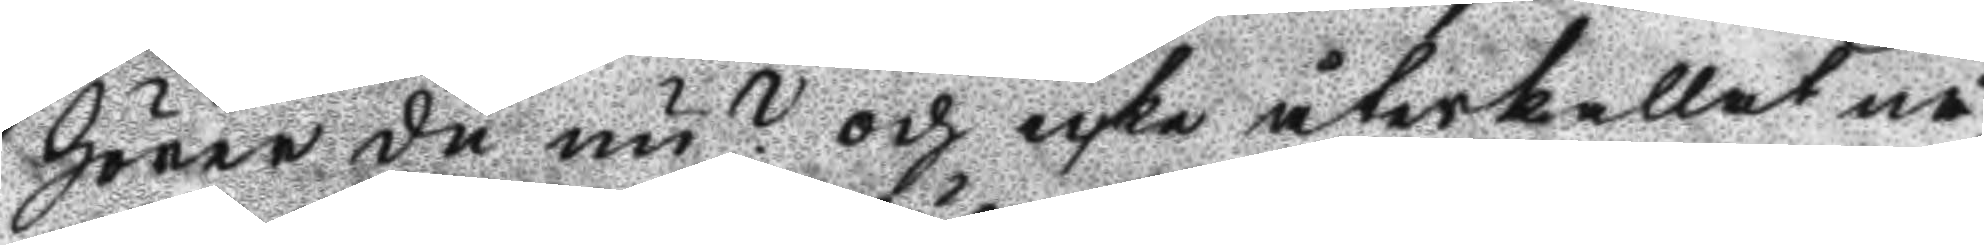hörer du nu? och icke återkallat nå¬
